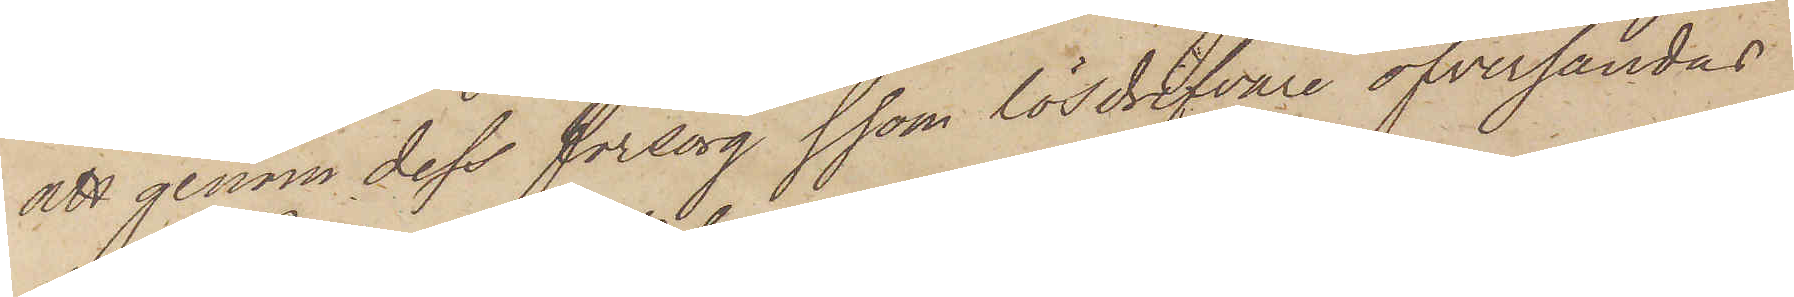att genom dess försorg ssom lösdrifvare öfversändas
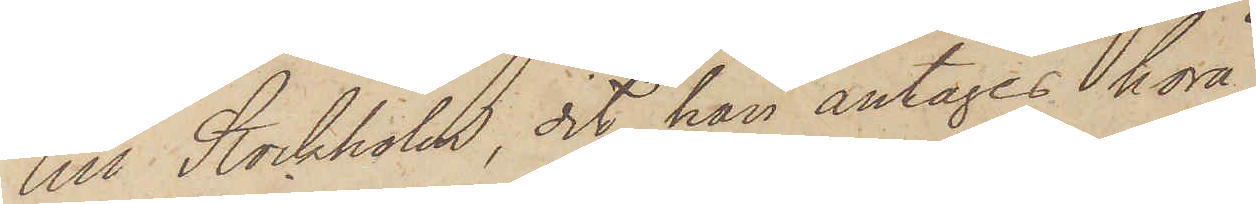till Stockholm, dit han antagit höra.
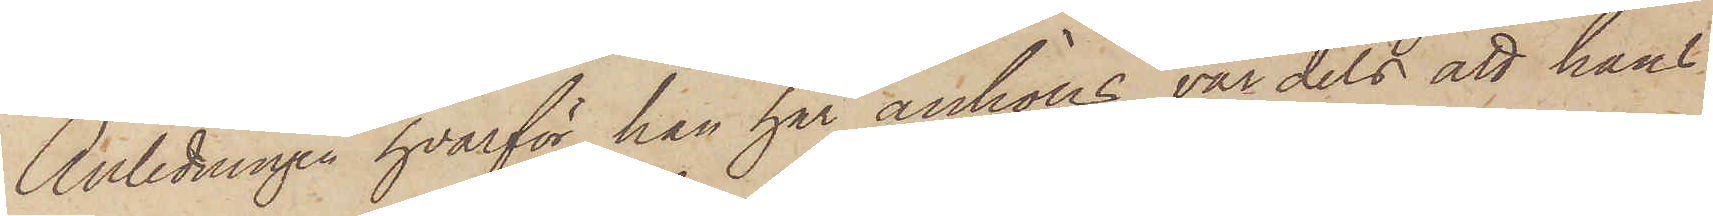Anledningen hvarför han här anhölls var dels att hans
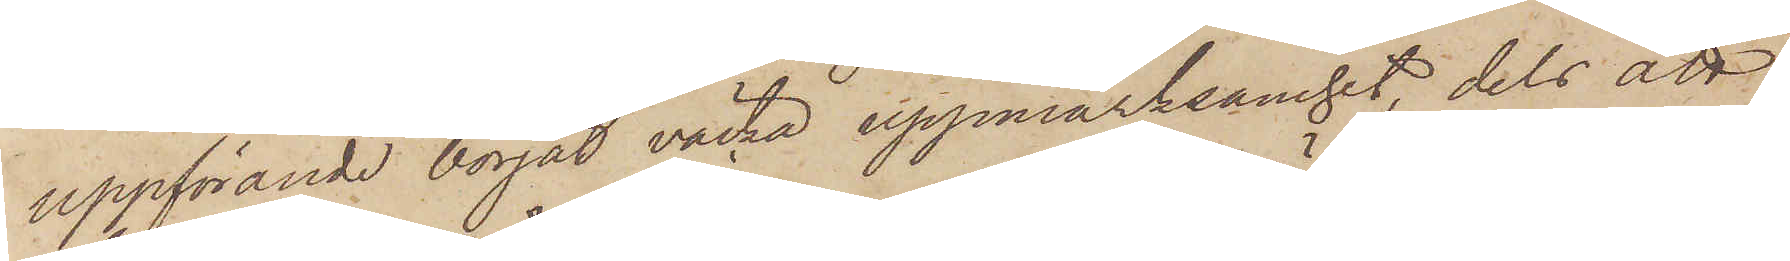uppförande börjat väcka uppmärksamhet, dels att
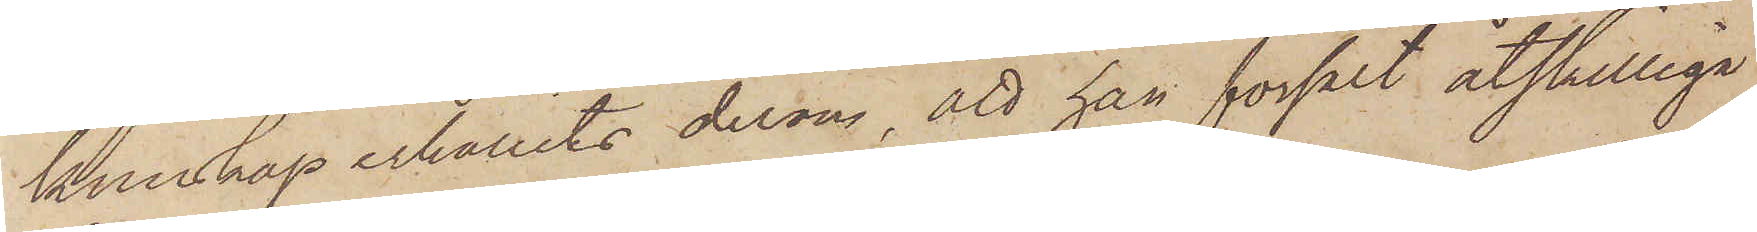kunskap erhållits derom, att han försålt åtskilliga
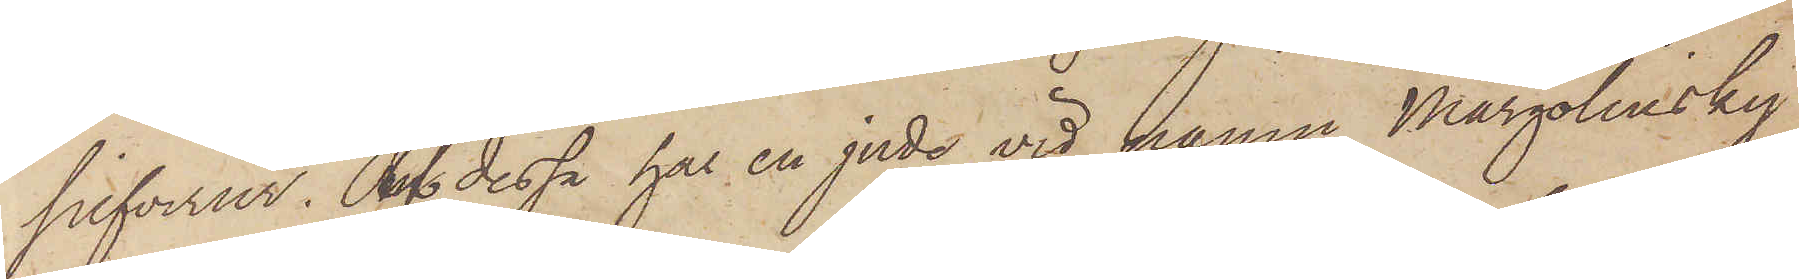silfverur. Af dessa har en jude vid hamn Margolinsky
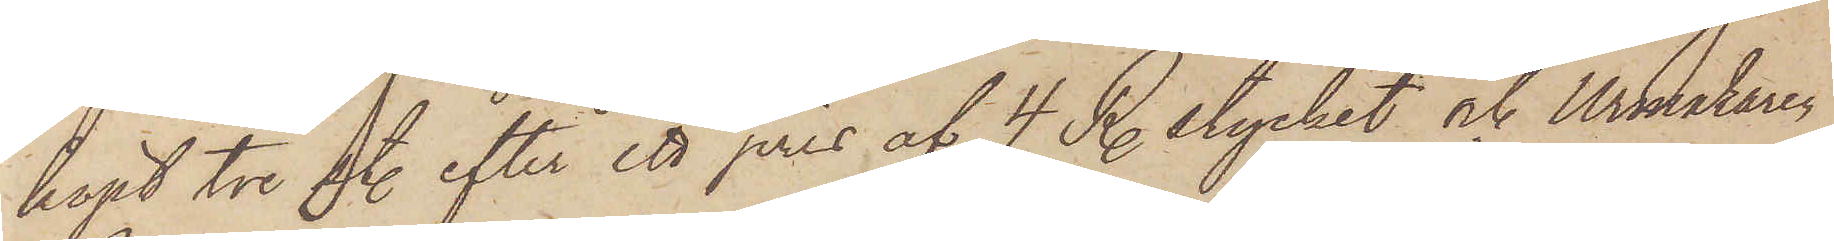köpt tre st efter ett pris af 4 R. stycket och Urmakaren
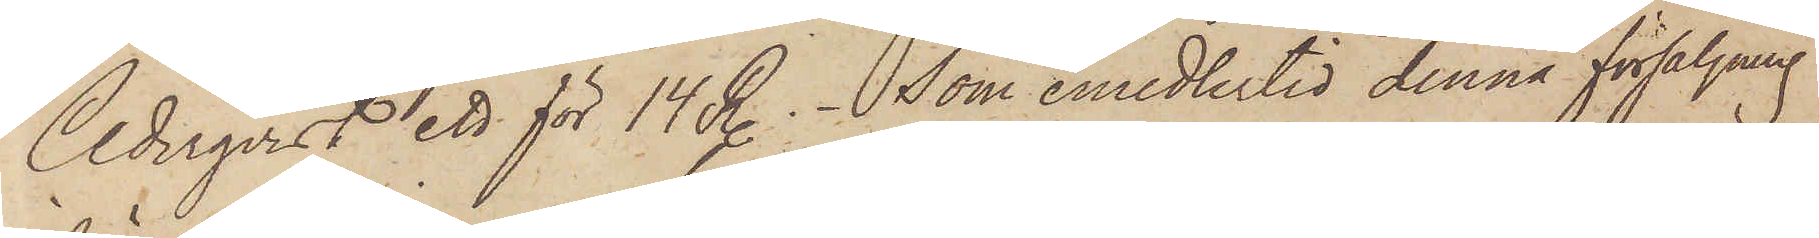Cederqvist ett för 14 R. Som emedlertid denna försäljning
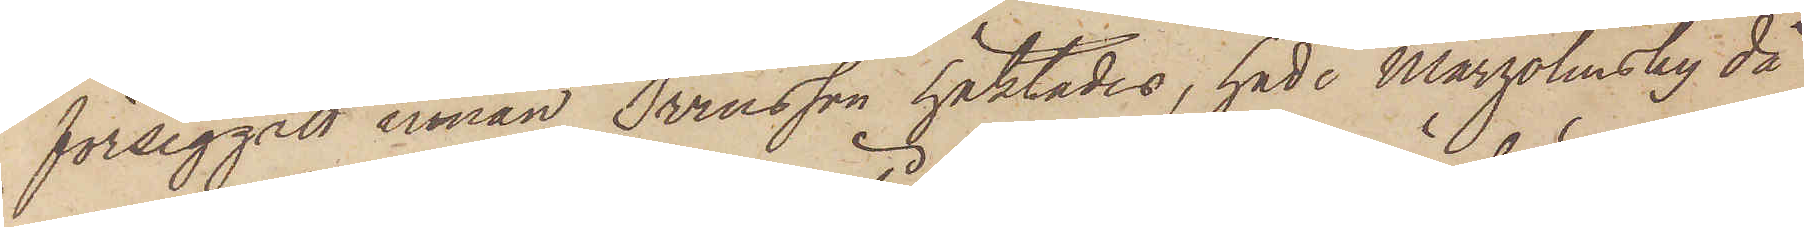försiggått innan Svensson häktades, hade Margolinsky då
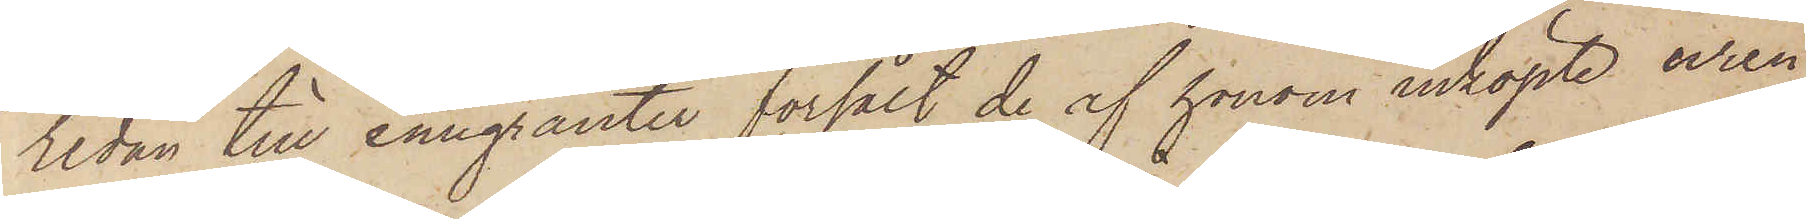redan till emigranter försålt de af honom inköpte uren
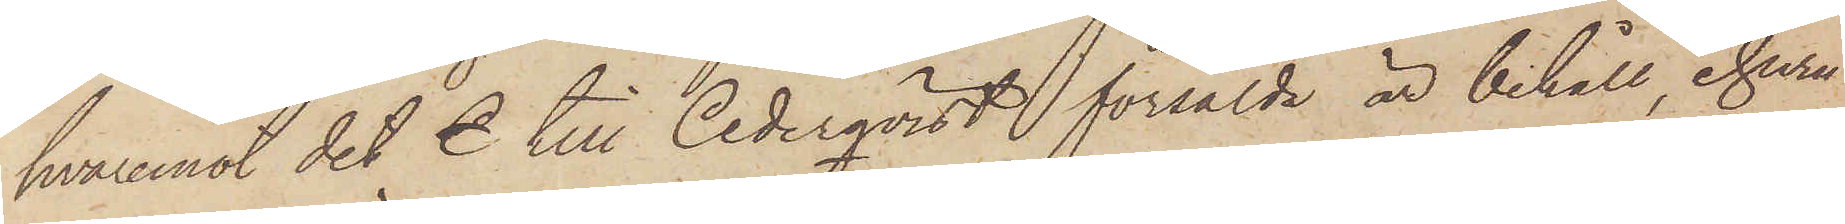hvaremot det C till Cederqvist försålde är behåll, ehuru
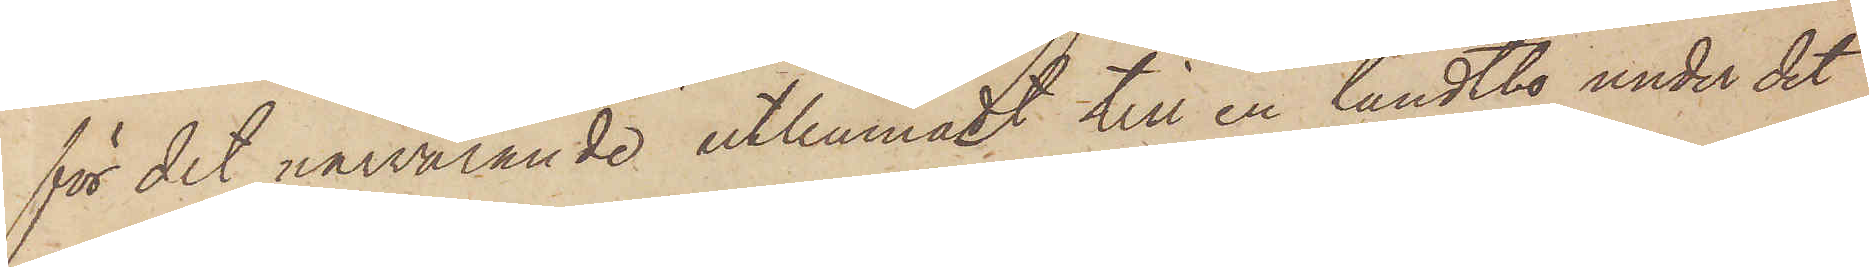för det närvarande utlemnadt till en landtbo under det
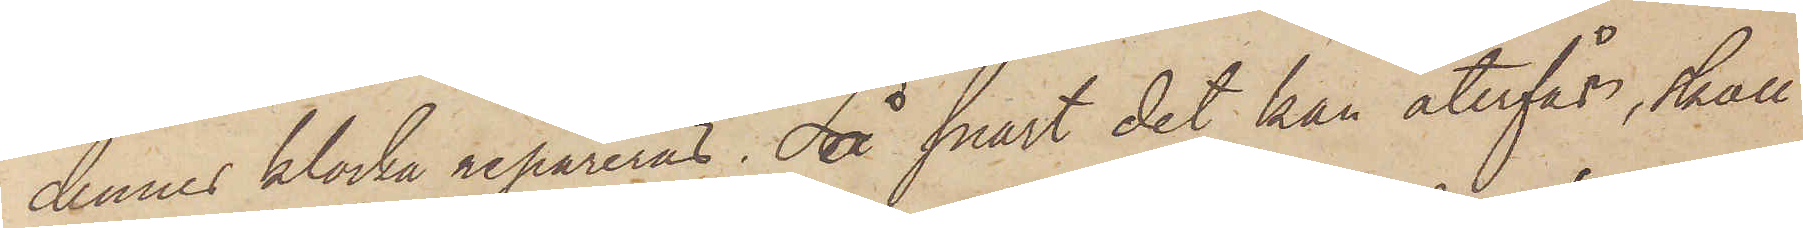dennes klocka repareras. Så snart det kan återfås, skall
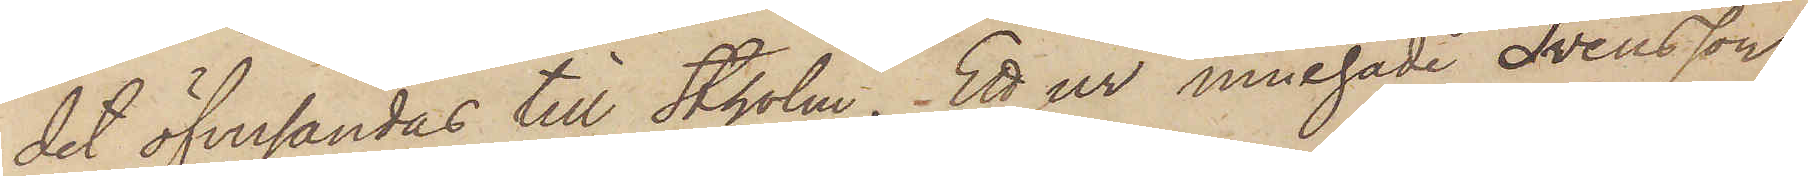det öfversändas till Stholm. Ett ur innehade Svensson
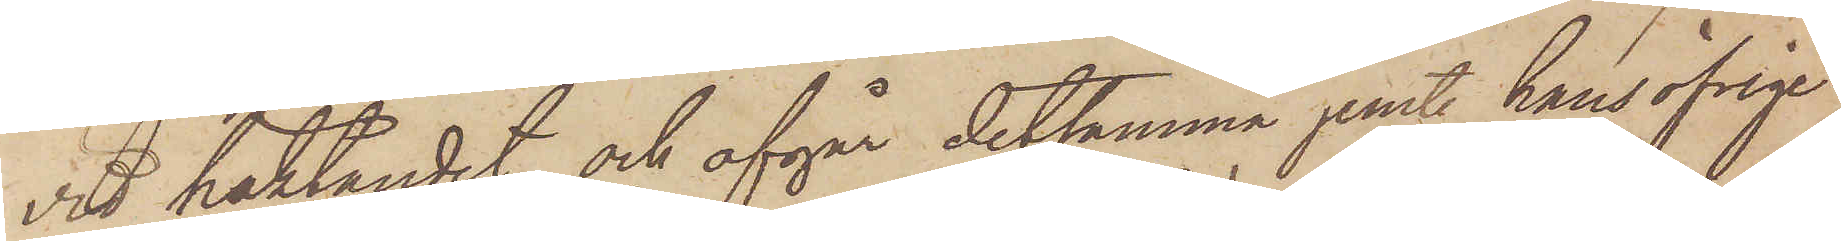vid häktandet, och afgår detsamma jemt hans öfrige
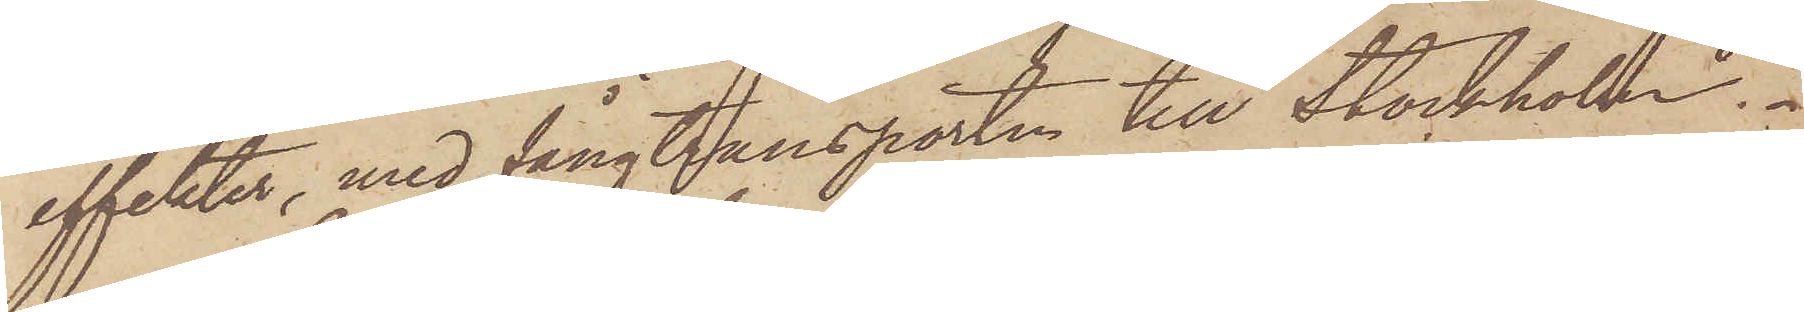effekter, med fångtransporten till Stockholm.
